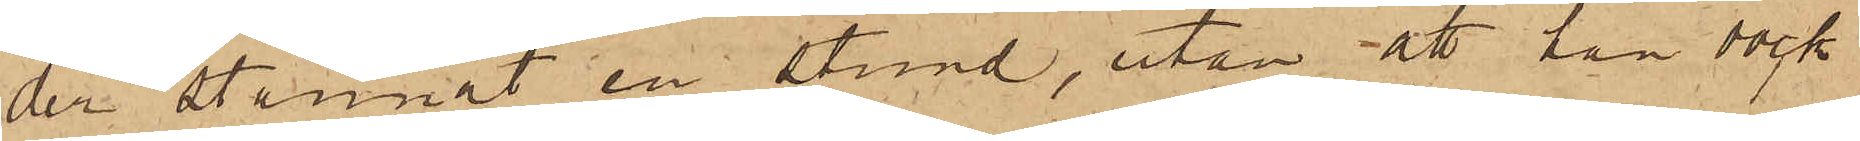der stannat en stund, utan att han dock
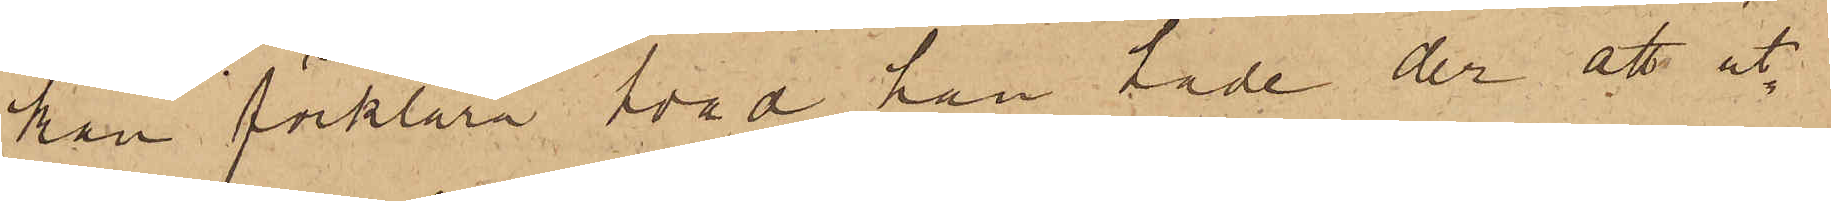kan förklara hvad han hade der att ut¬
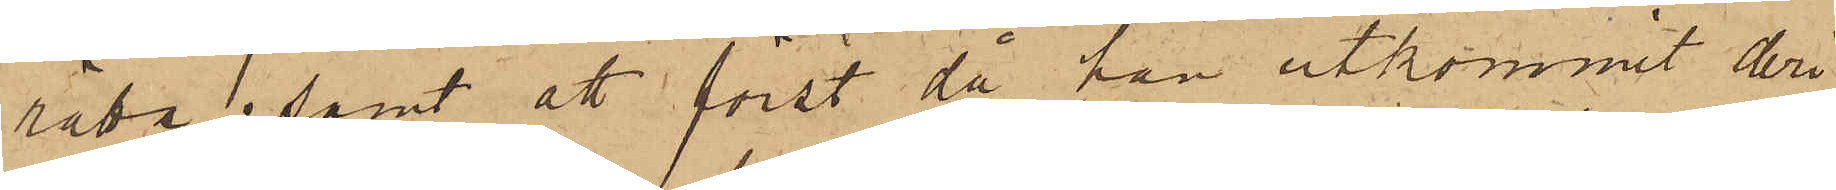rätta; samt att först då han utkommit deri¬
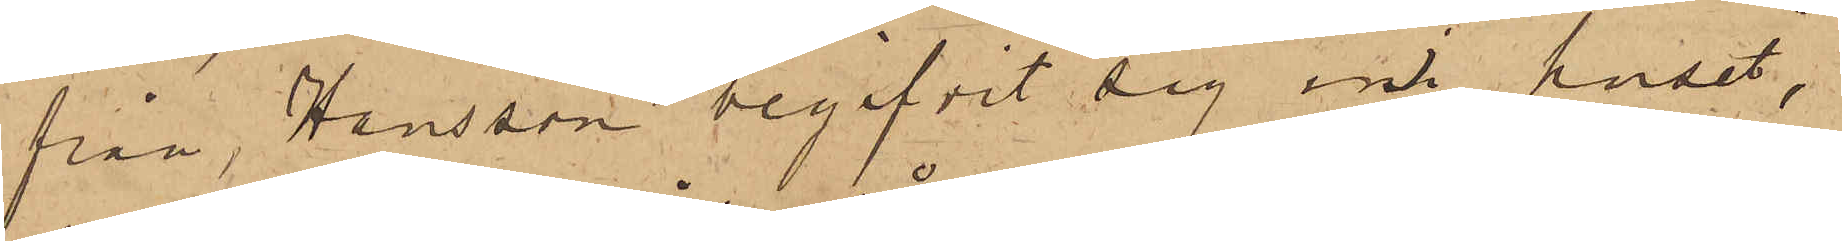från, Hansson begifvit sig ini huset,
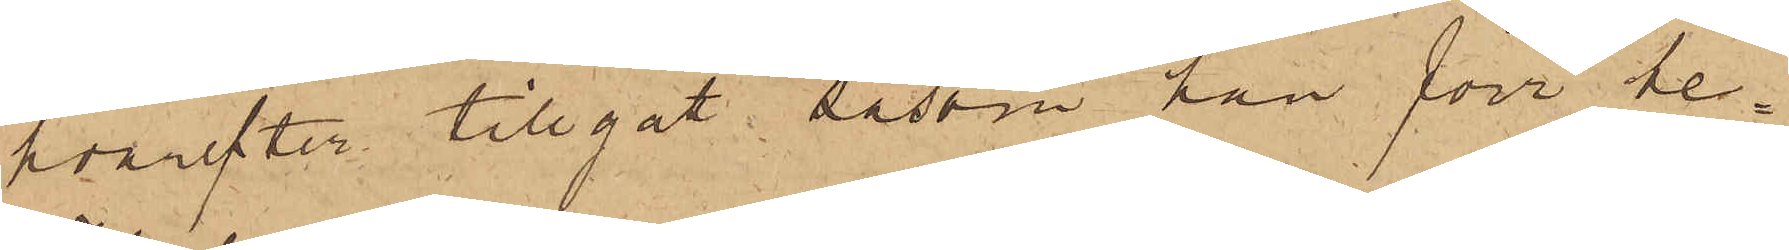hvarefter tillgått såsom han förr be¬
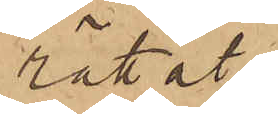rättat.
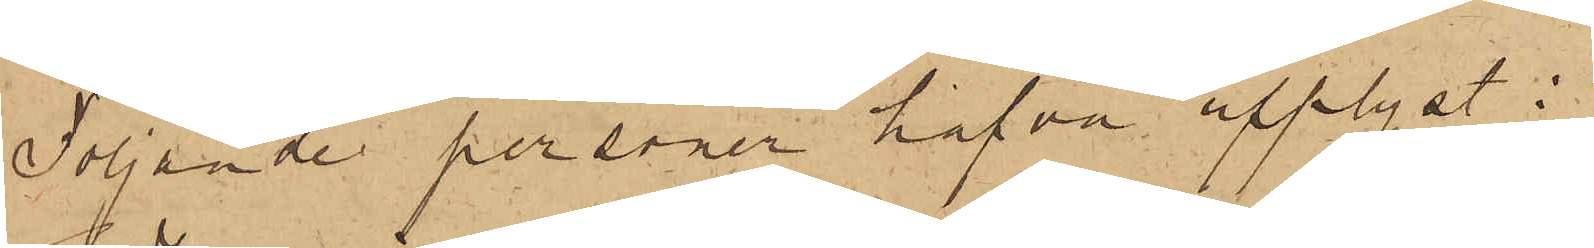Följande personer hafva upplyst:
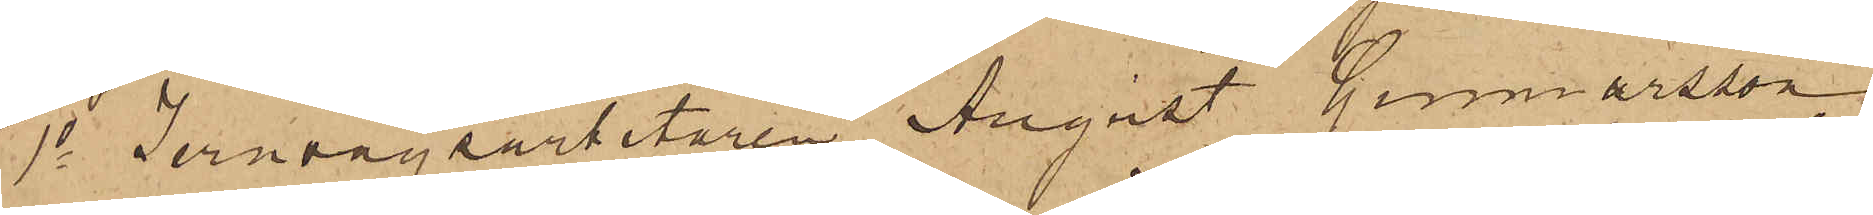1o Jernvägsarbetaren August Gunnarsson,
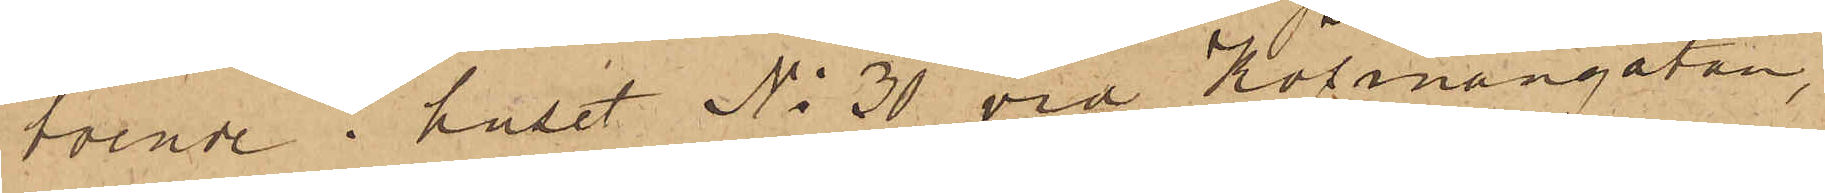boende i huset No 30 vid Köpmangatan,
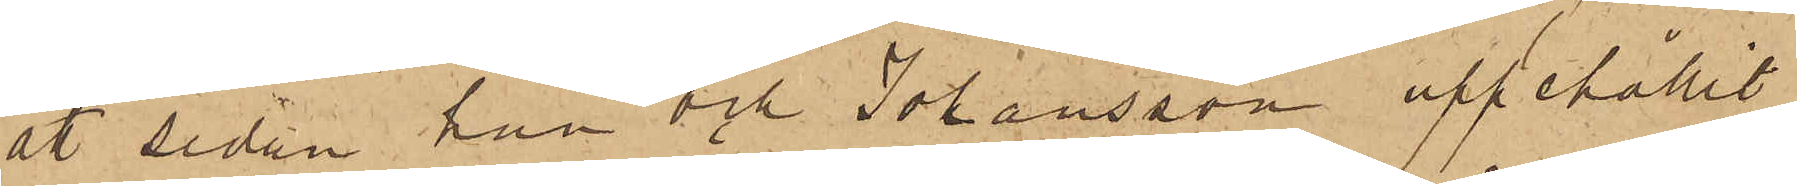att sedan han och Johansson uppehållit
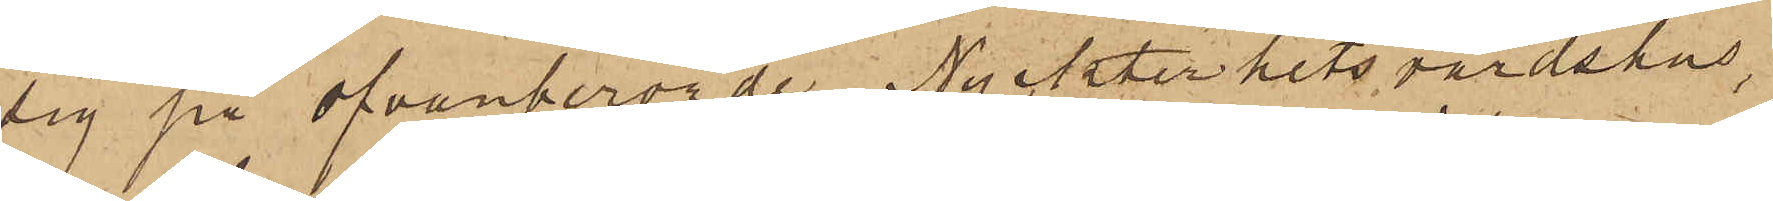sig på ofvanberörde Nykterhetsvärdshus,
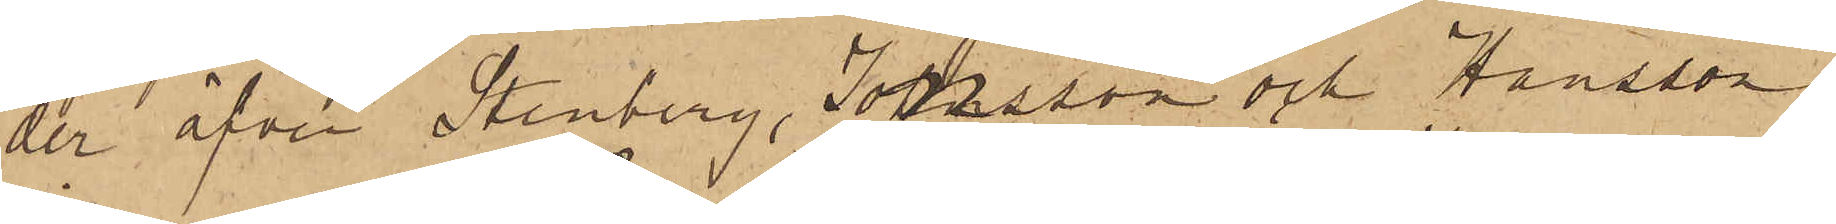der äfven Stenberg, Jonsson och Hansson
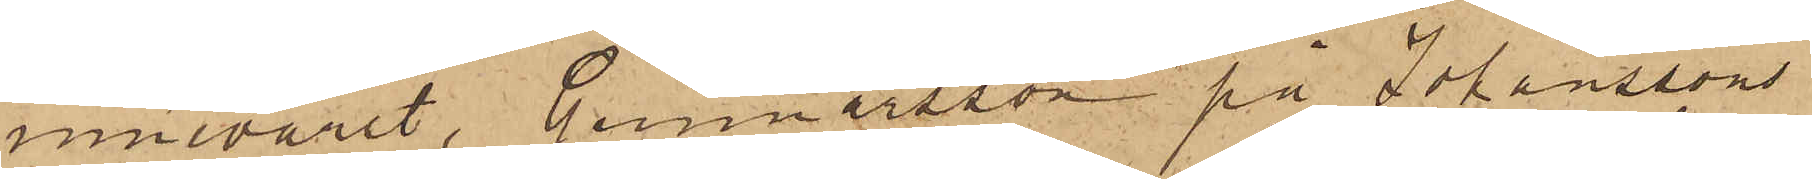innevarit, Gunnarsson på Johanssons
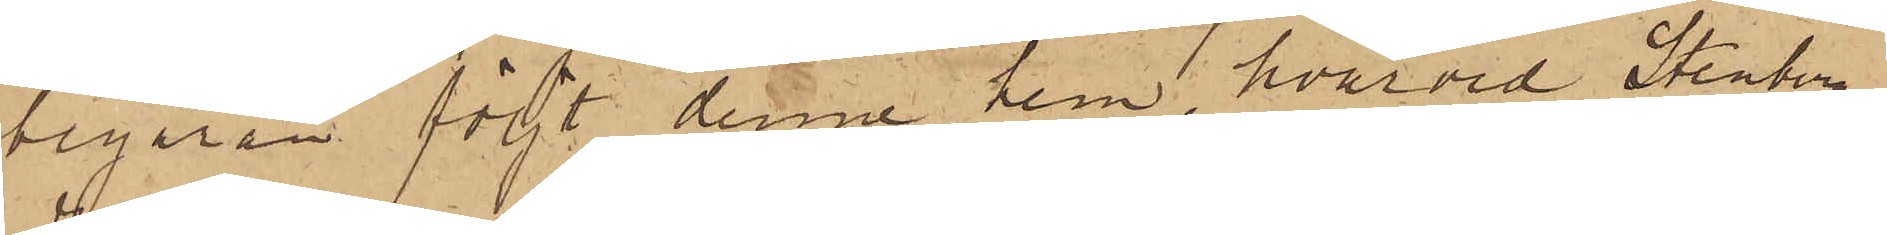begäran följt denne hem, hvarvid Stenberg
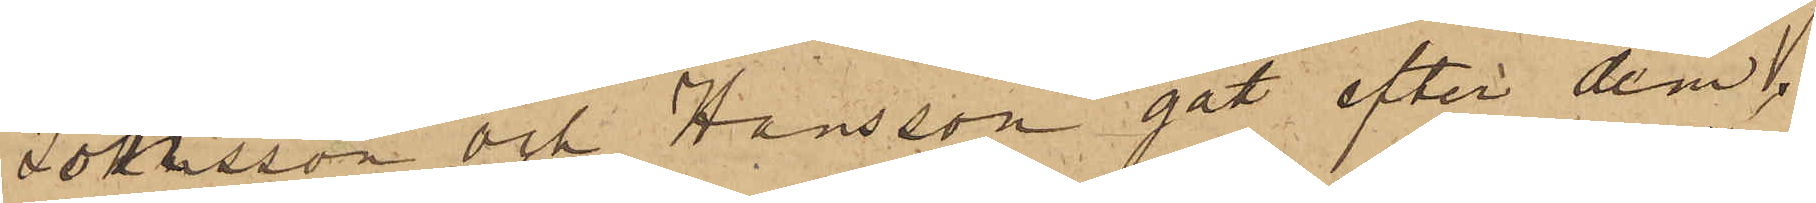Jonsson och Hansson gått efter dem,
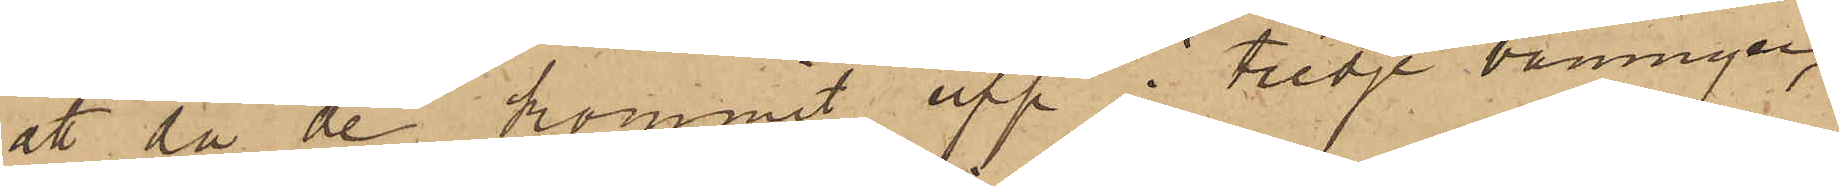att då de kommit upp i tredje våningen,
